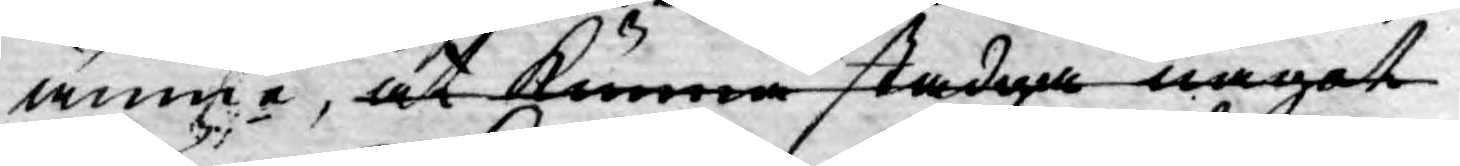ämne, at kunna stadga något
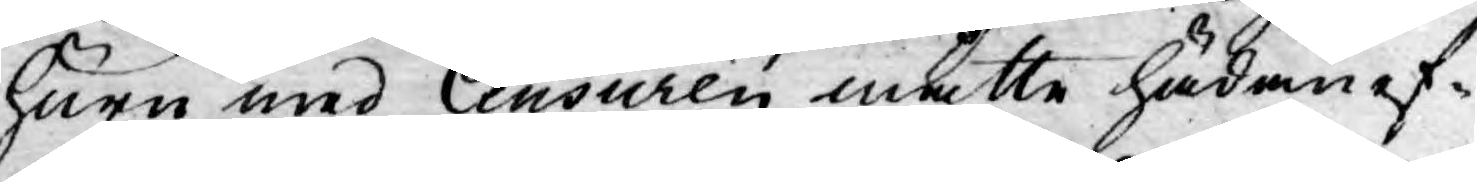huru med Censuren måtte hädan ef¬
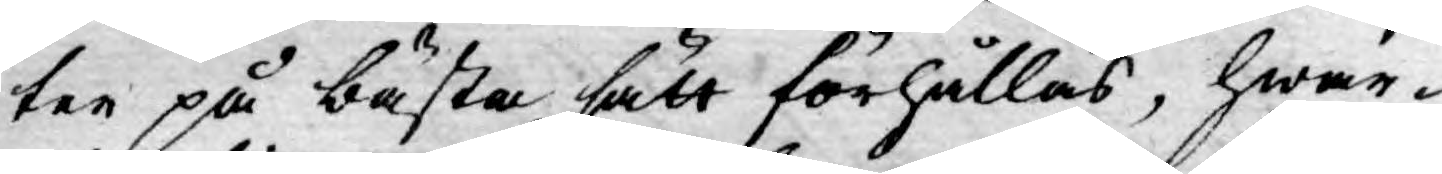ter på bästa sätt förhållas, hwar-
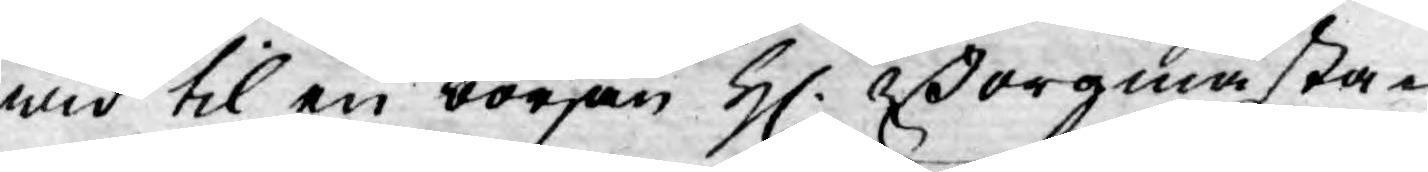wid til en början H. Borgmästa¬
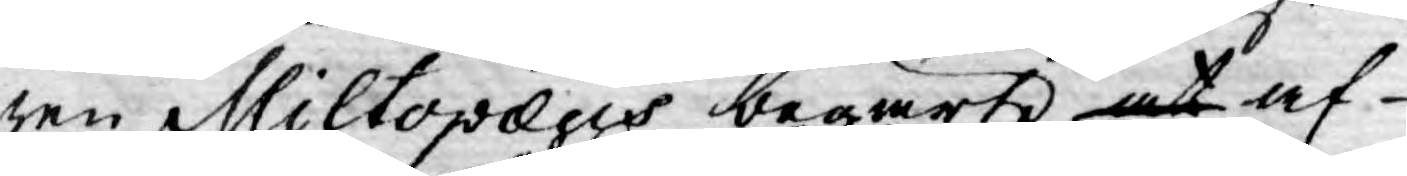ren Miltopæus begärte, at af
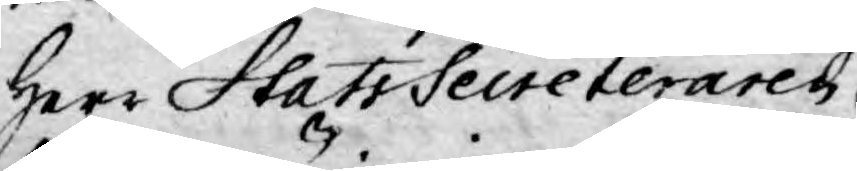Herr StatsSecreteraren
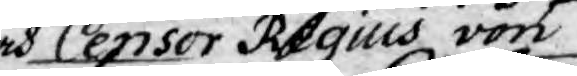och Censor Regius von
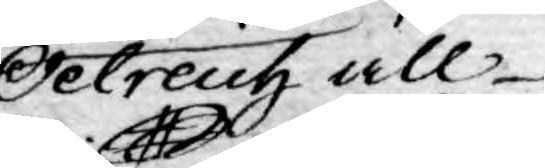Oelreich all
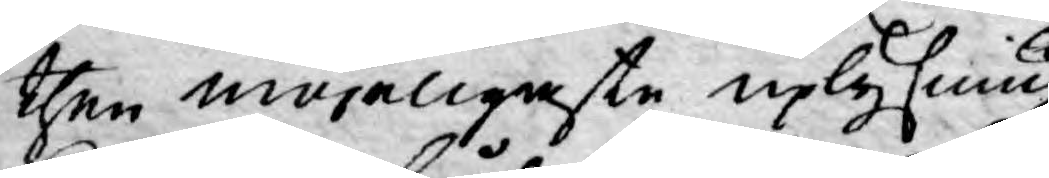then möjeligaste uplysning
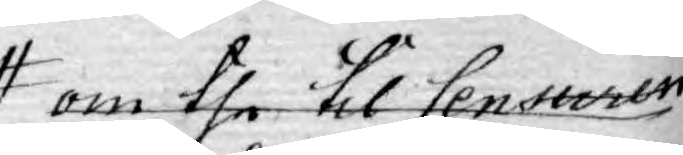om the til Censuren
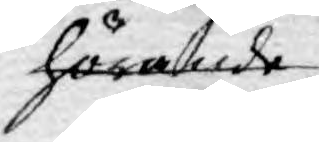hörande
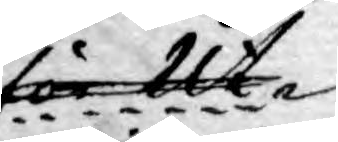för Ut¬
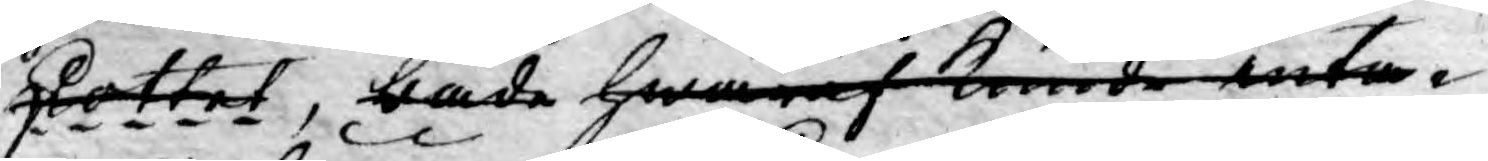skottet, både hwaraf kunde anta¬
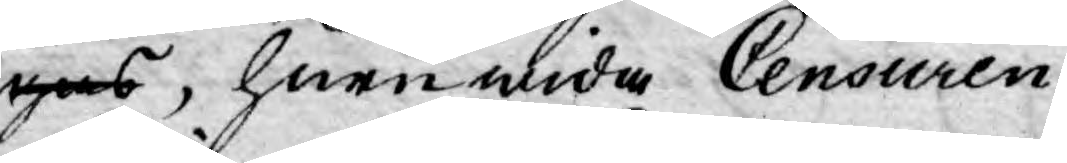gas, huruwida Censuren
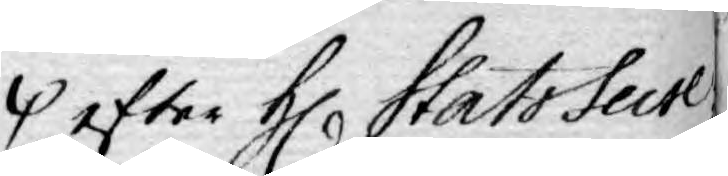efter H Stats Secre¬
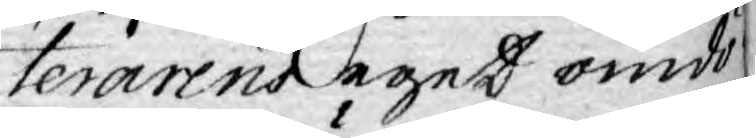terarens eget omdö¬
